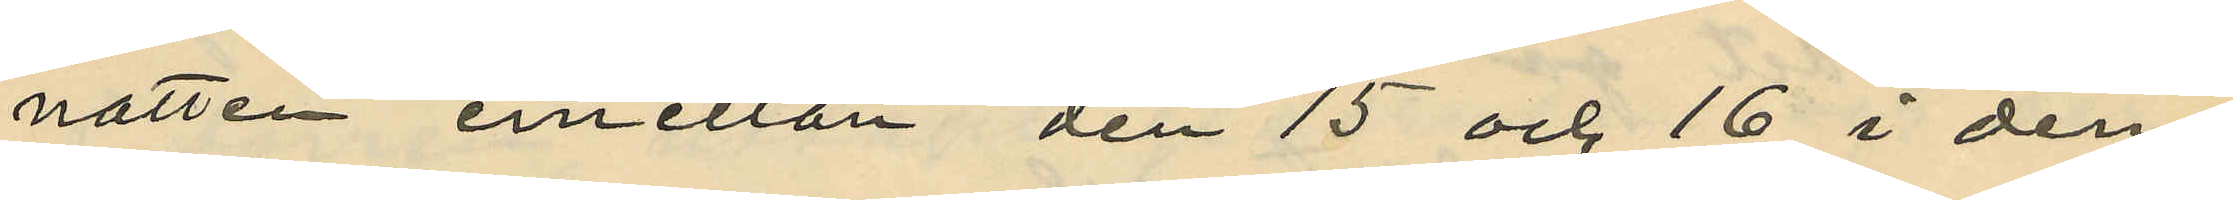natten emellan den 15 och 16 i den¬
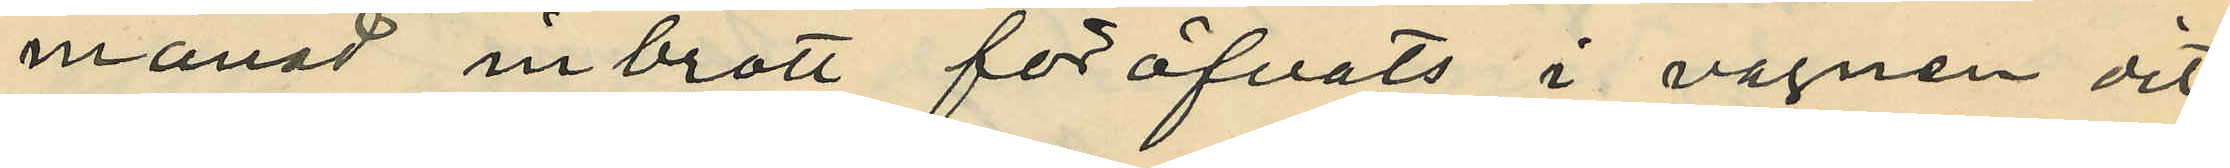månad inbrott föröfvats i vagnen dit
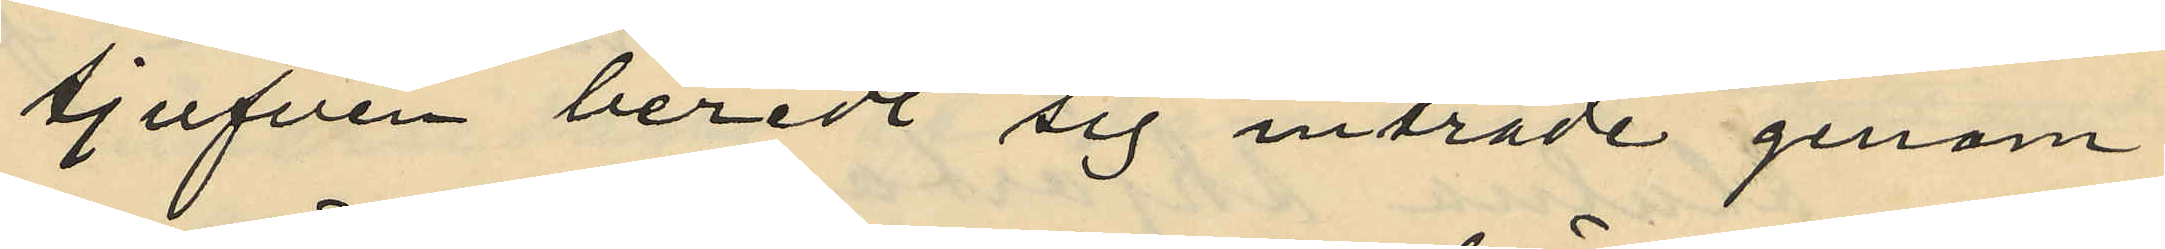tjufven beredt sig inträde genom
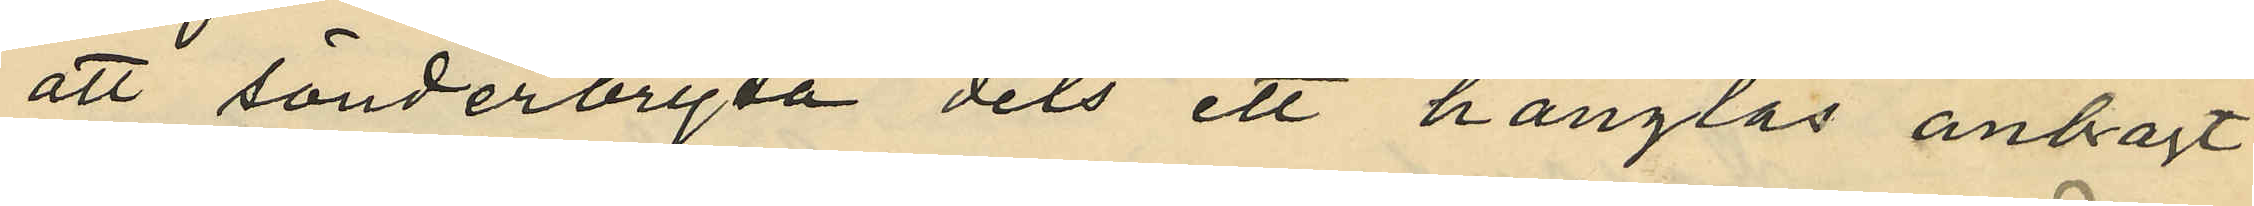att sönderbryta dels ett hänglås anbragt
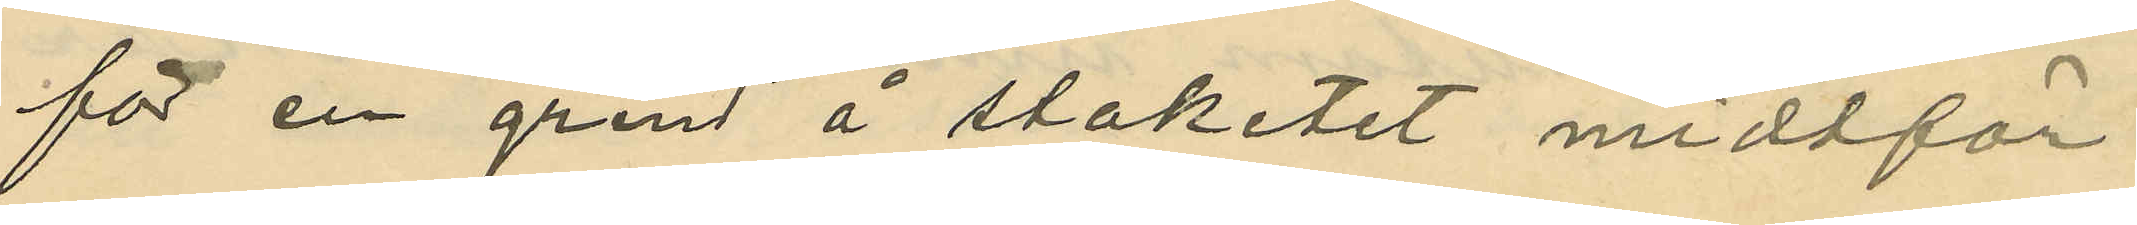för en grind å staketet midtför
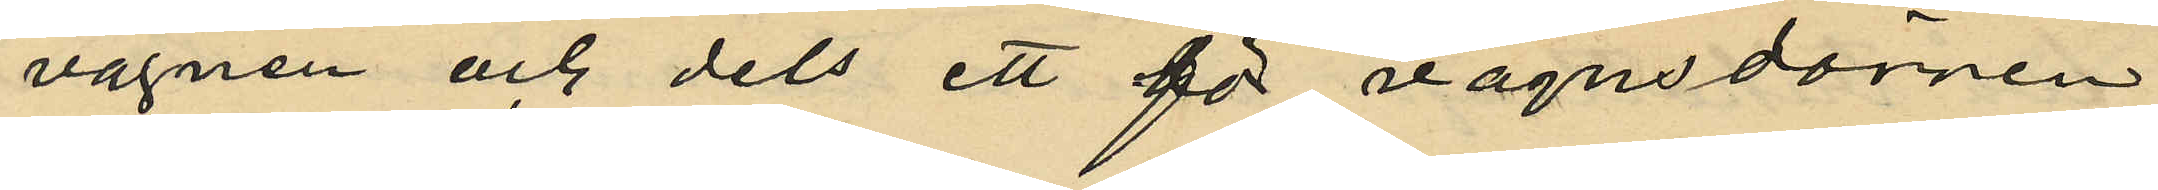vagnen och dels ett för vagnsdörren
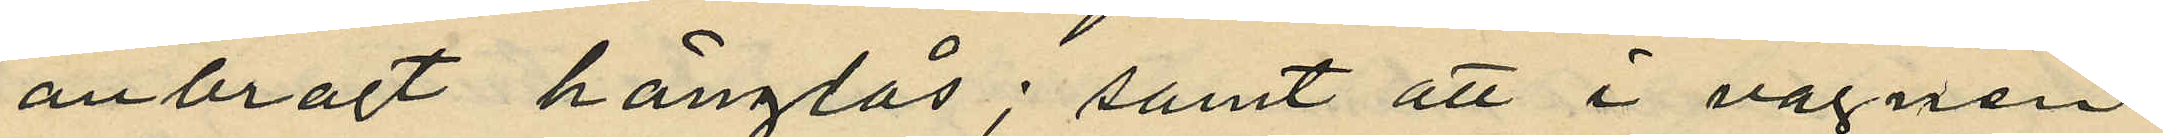anbragt hänglås; samt att i vagnen
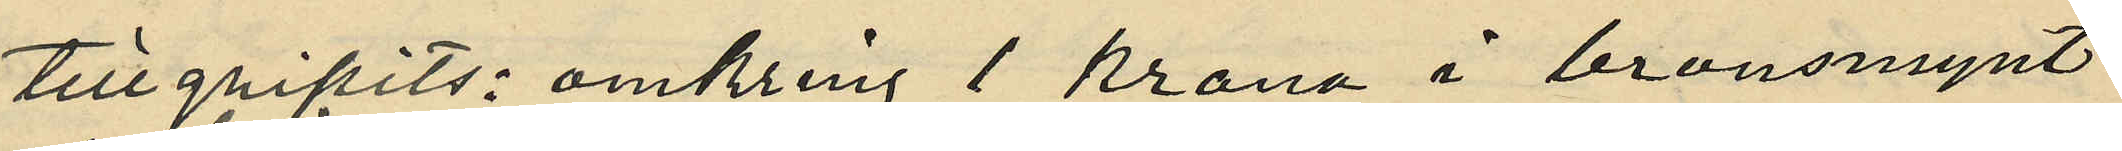tillgripits: omkring 1 krona i bronsmynt
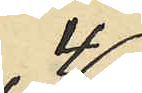4
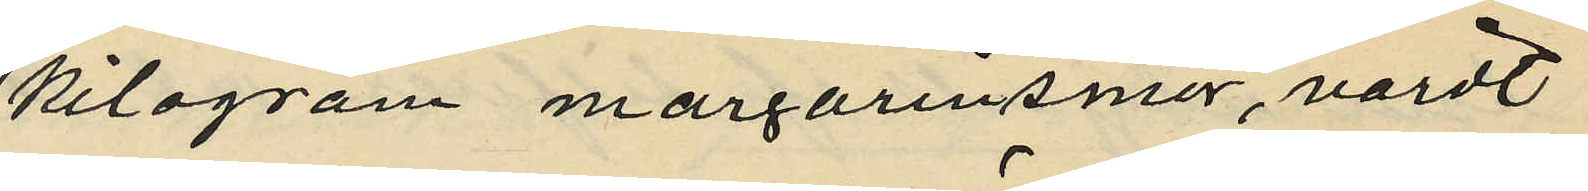kilogram margarinsmör, värdt
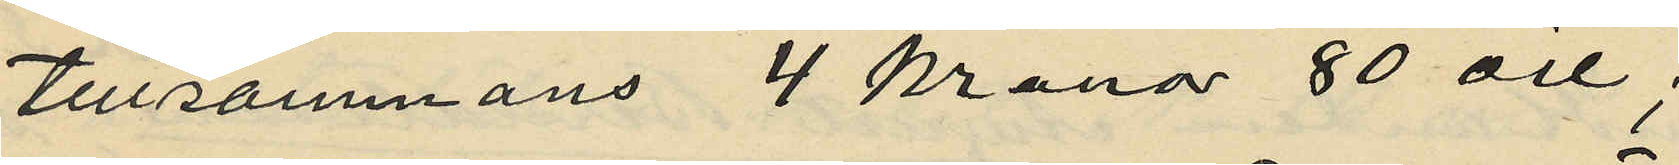tillsammans 4 kronor 80 öre;
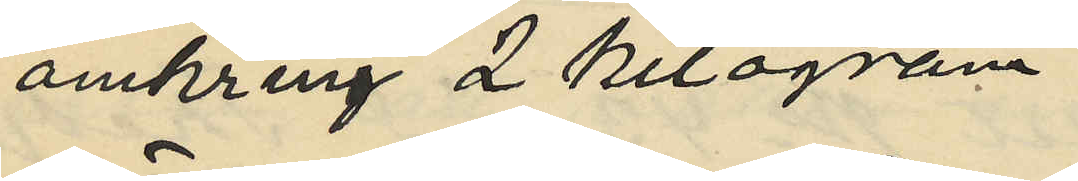omkring 2 kilogram
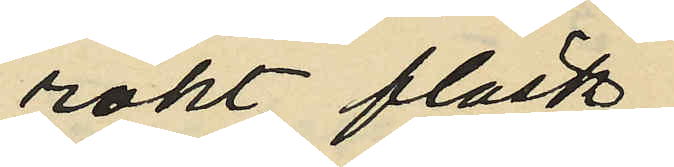rökt fläsk,
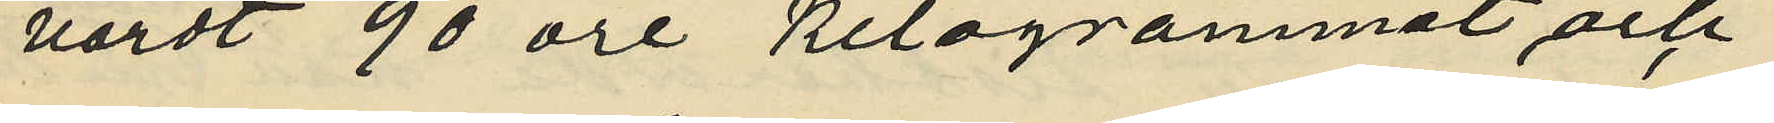värdt 90 öre kilogrammet och
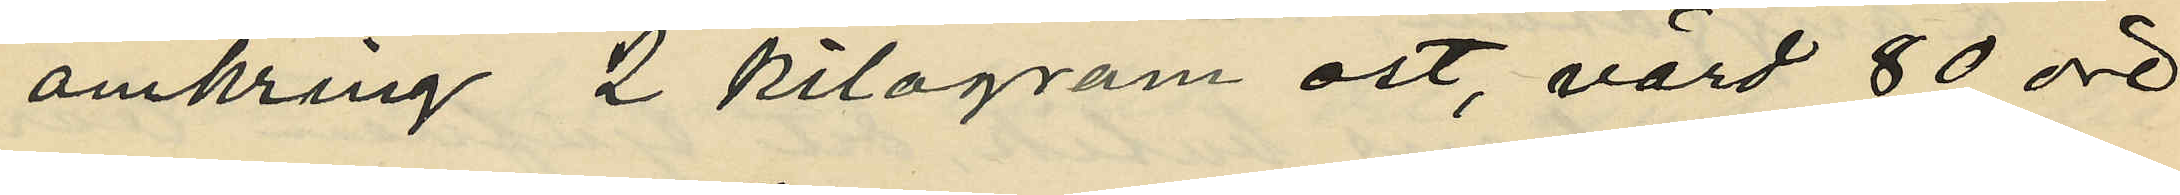omkring 2 kilogram ost, värd 80 öre
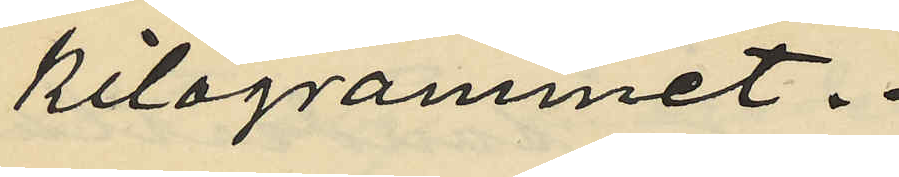kilogrammet.
